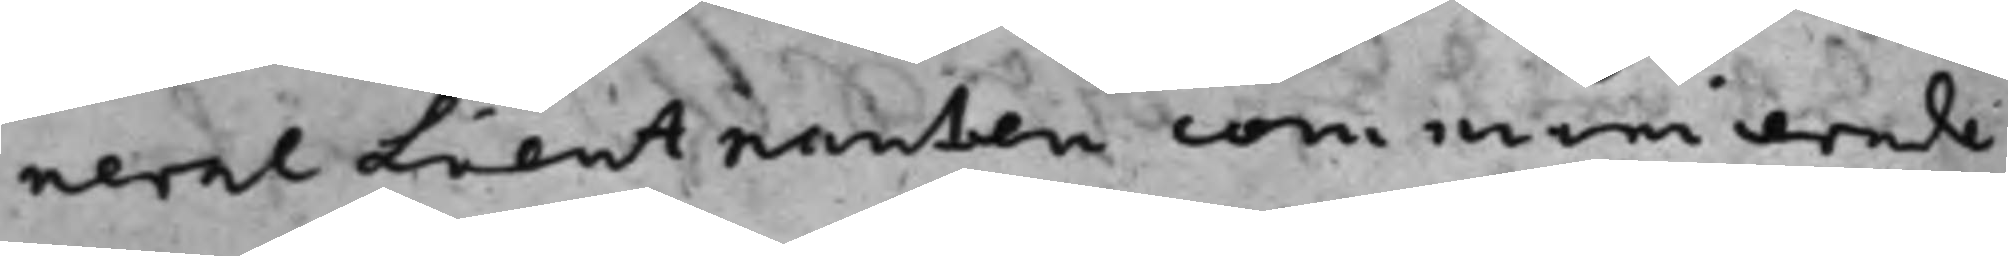nerallieutnanten communicerade
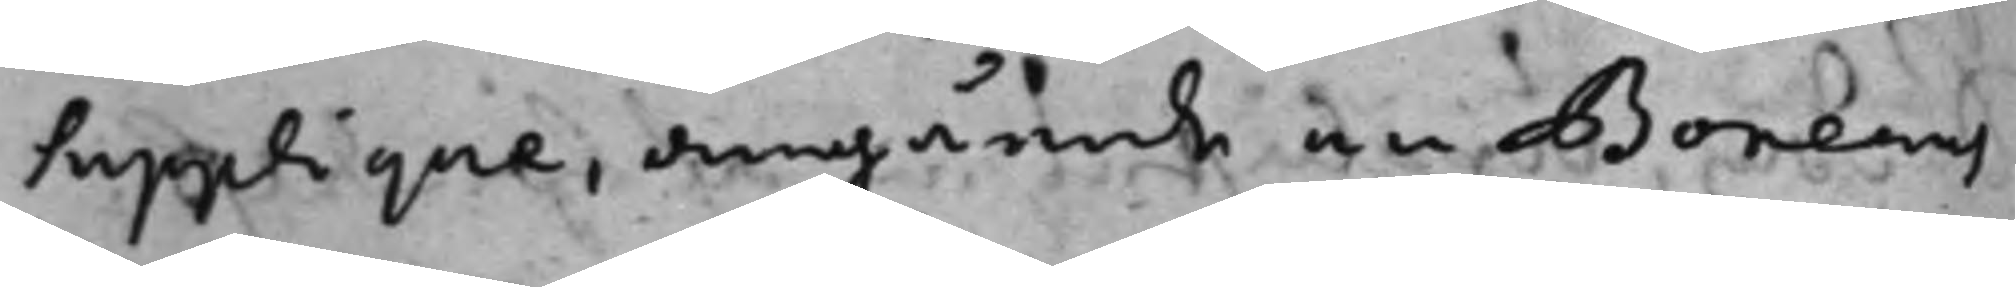supplique, angående en Boneaus
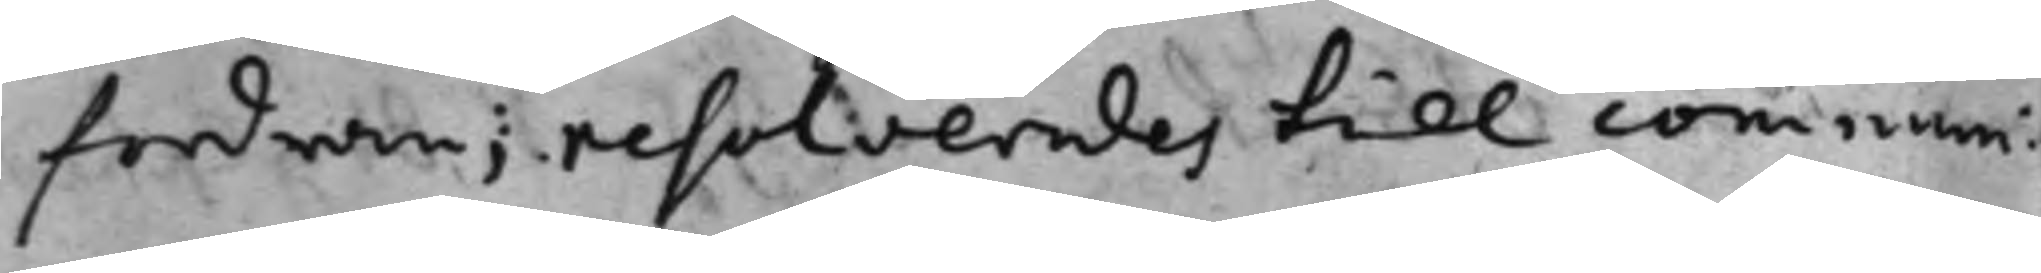fordran; resolverades till communi¬
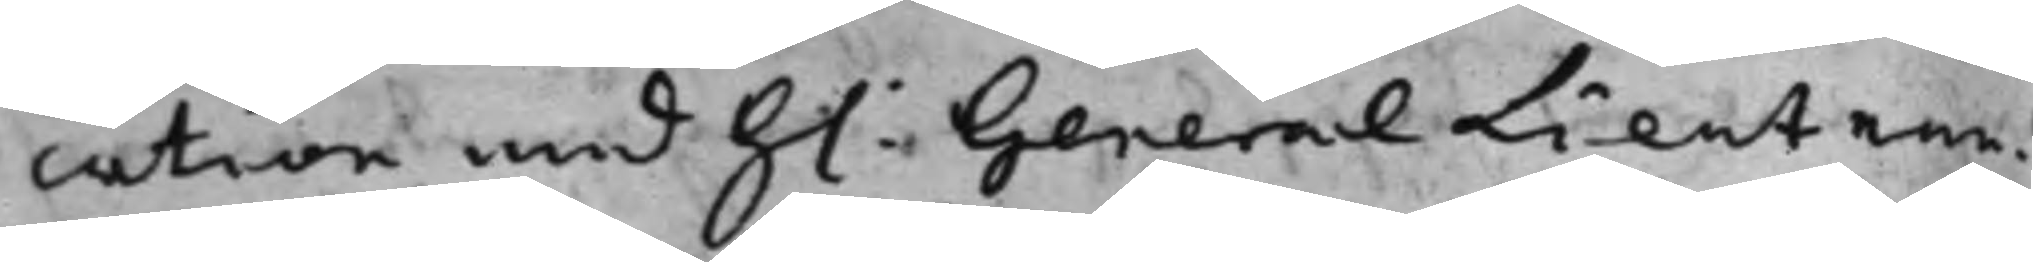cation med h: GeneralLieutnan¬
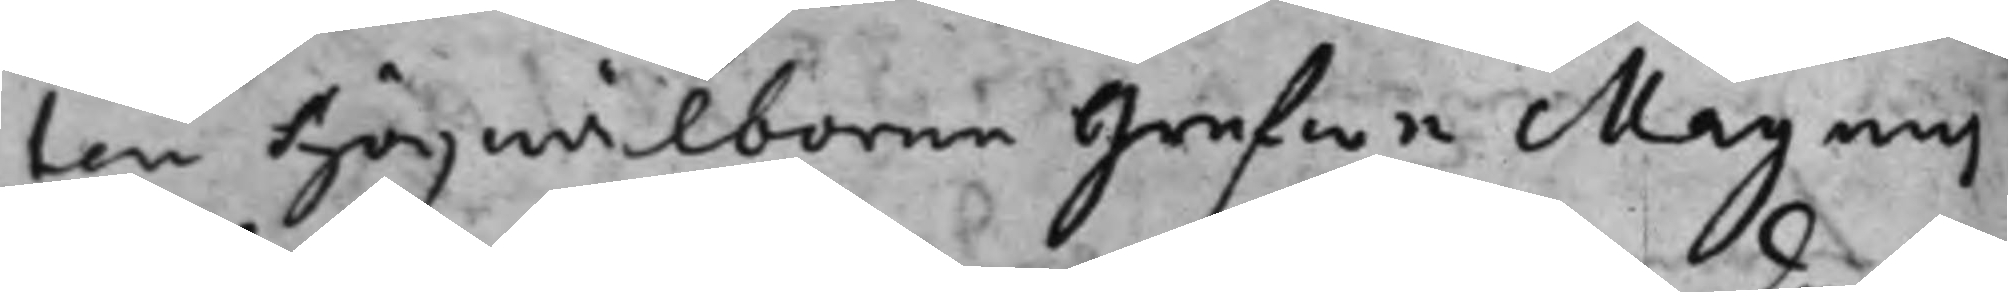ten högwälborne grefwe Magnus
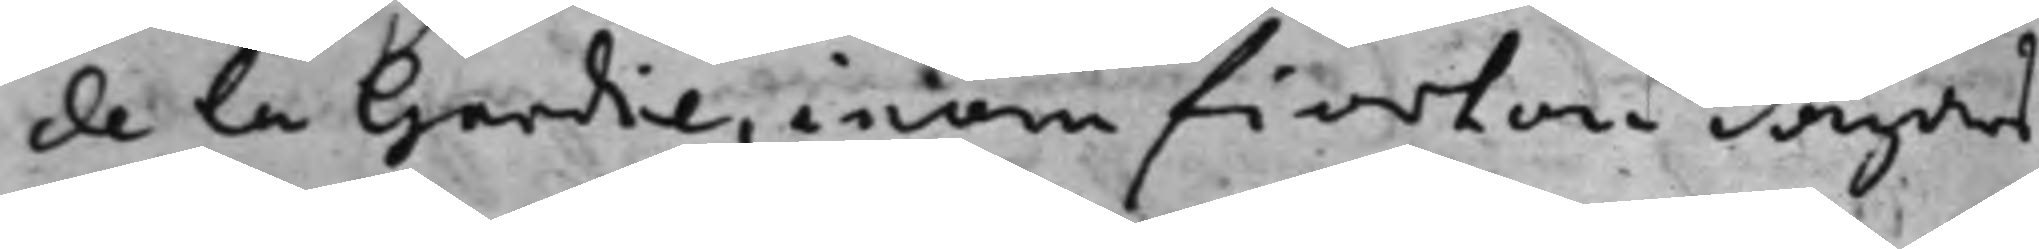de la Gardie, inom fiorton dagars
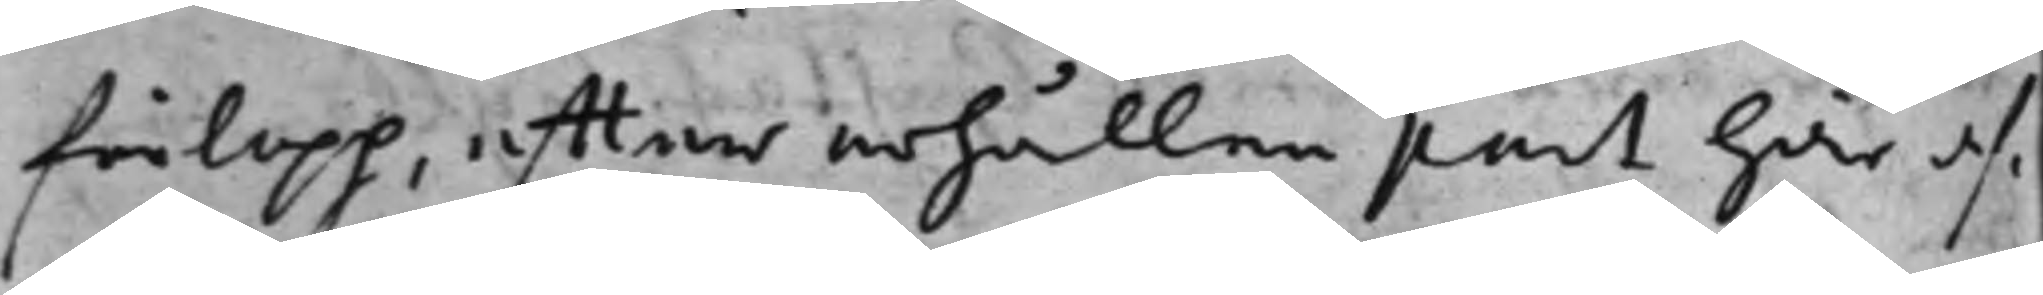förlopp efter erhållen part här af
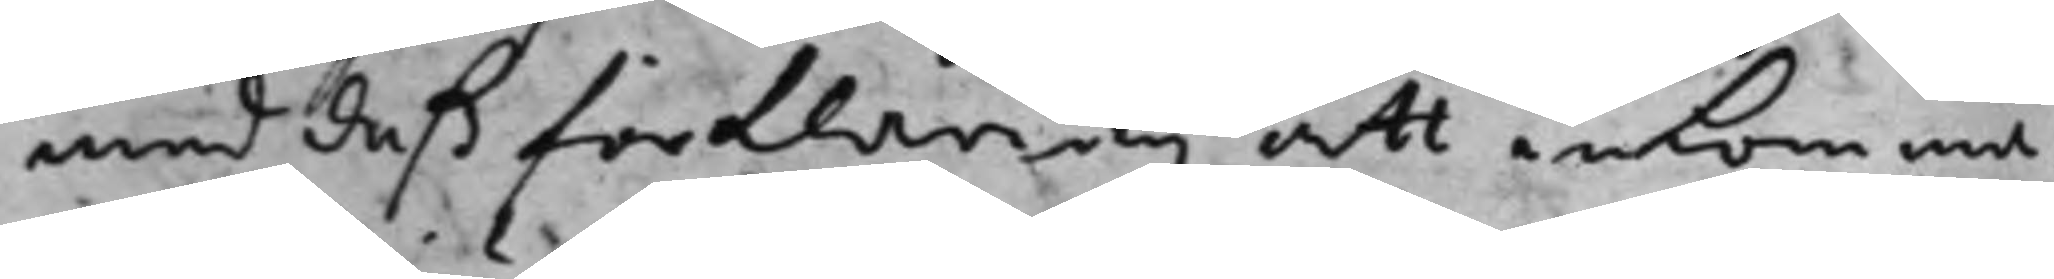med deß förklaring att inkomma
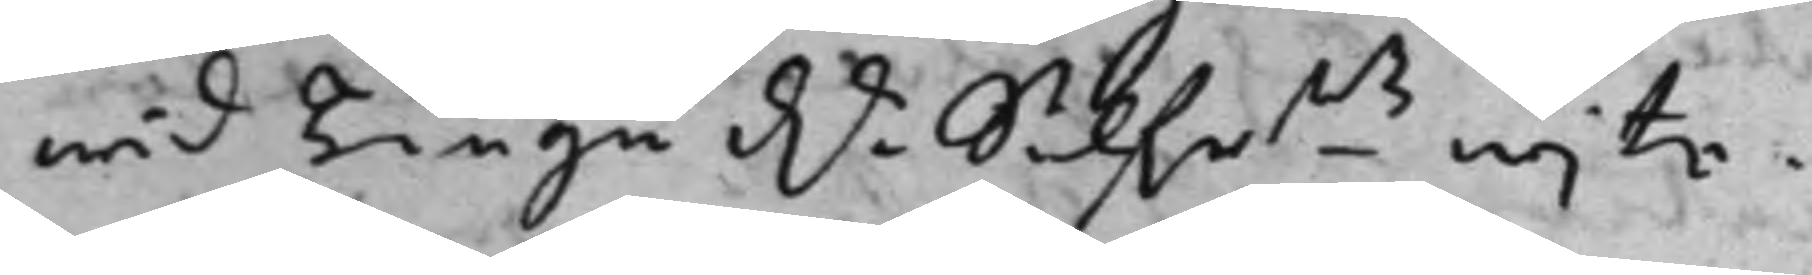wid Tiugu Dr Silfrmts wijte.
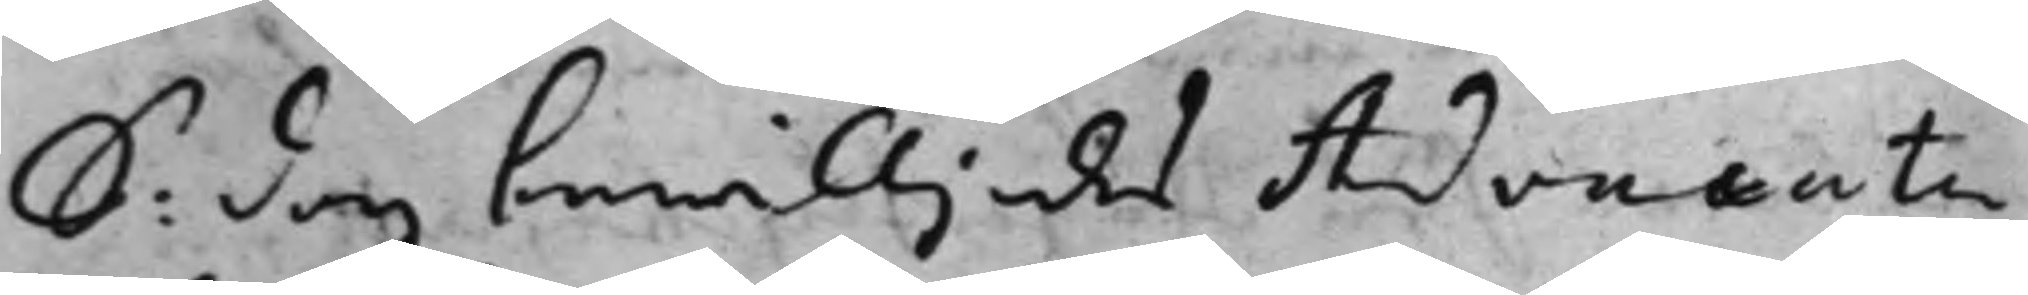S: dag bewiljades Advocaten
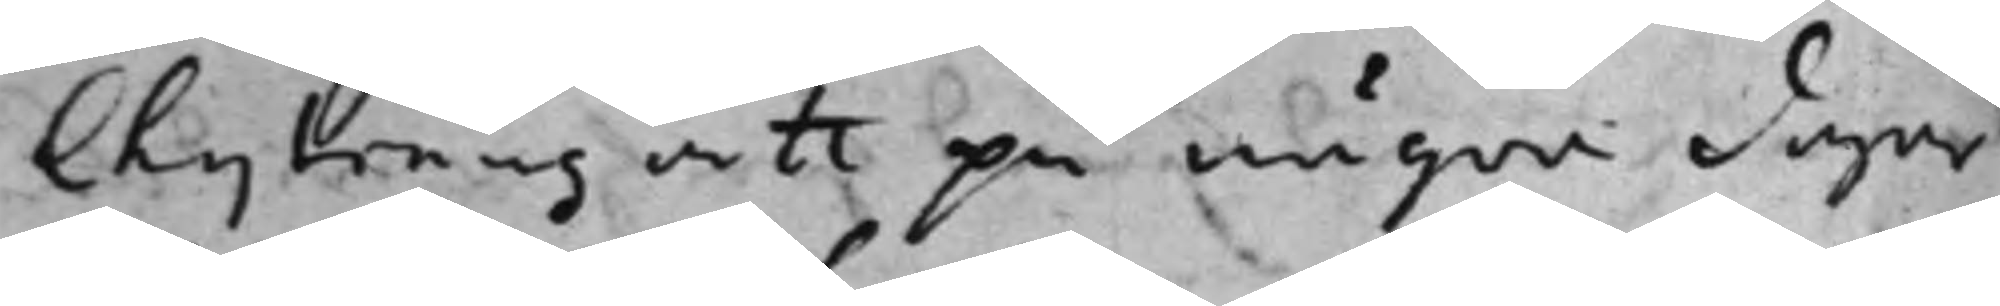Chyträus att på några dagar
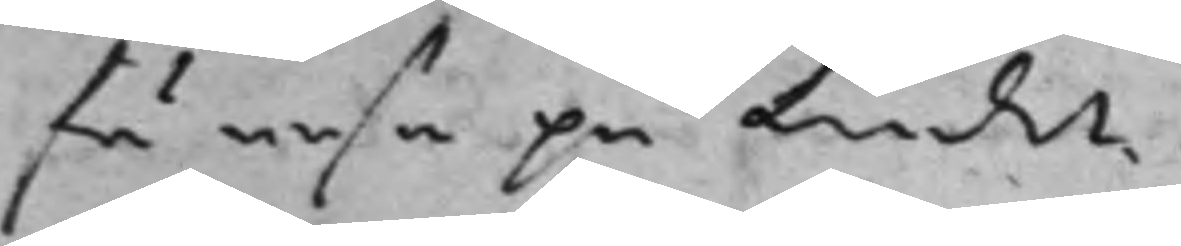få resa på landet.
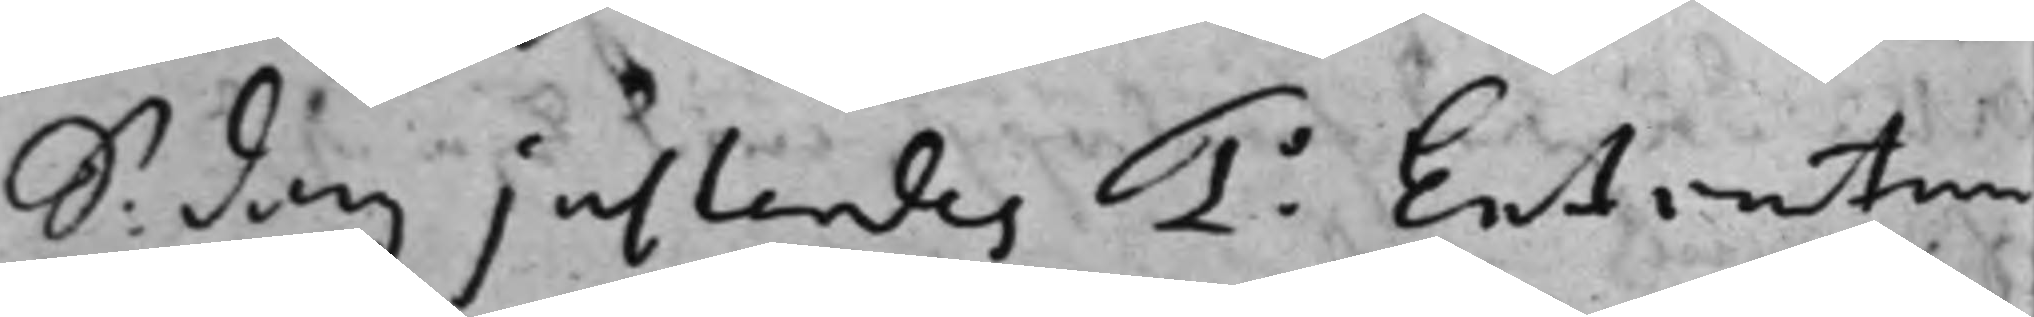S: dag justerdes 1o Extractum
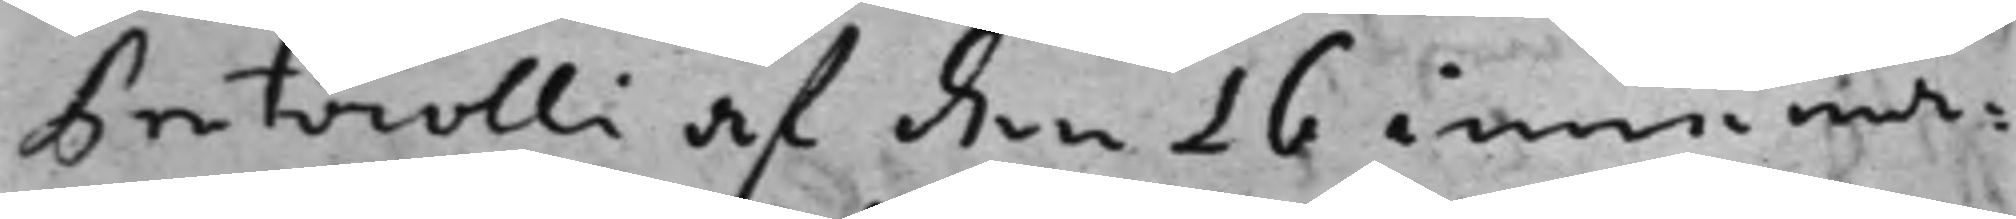Protocolli af den 16 innewa¬
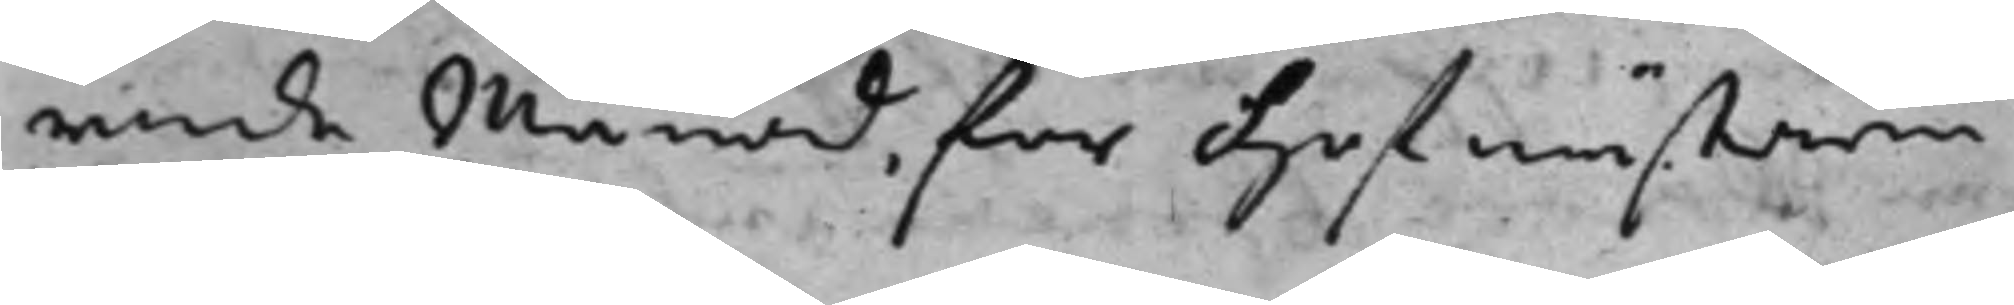rande månad för Hofmästaren
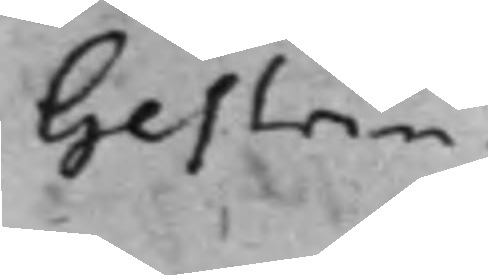Gestrin.
